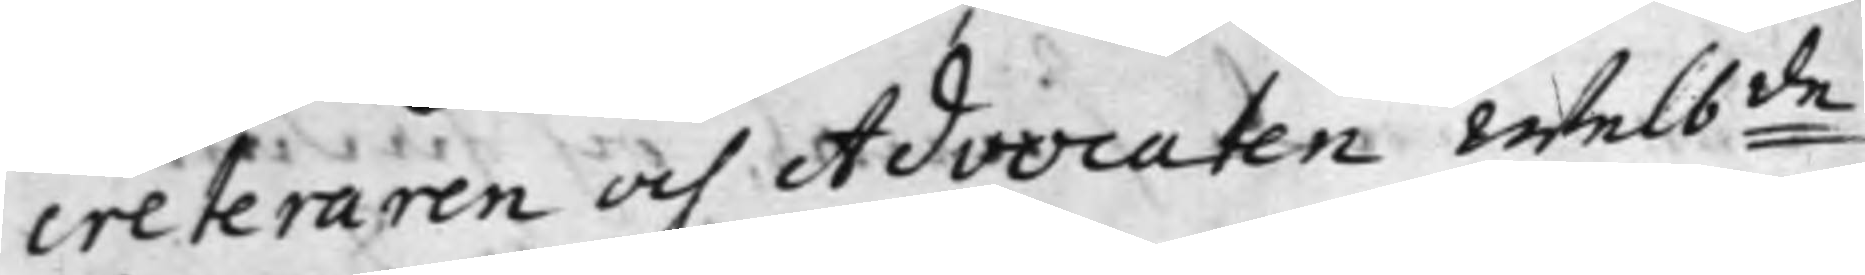creteraren och Advocaten Welb:de
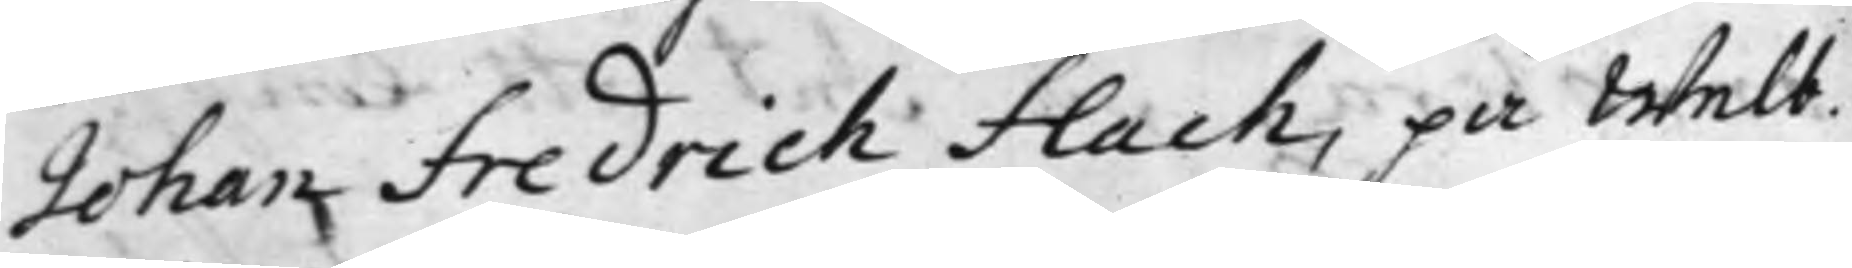Johan Fredrich Flach, på Welb.
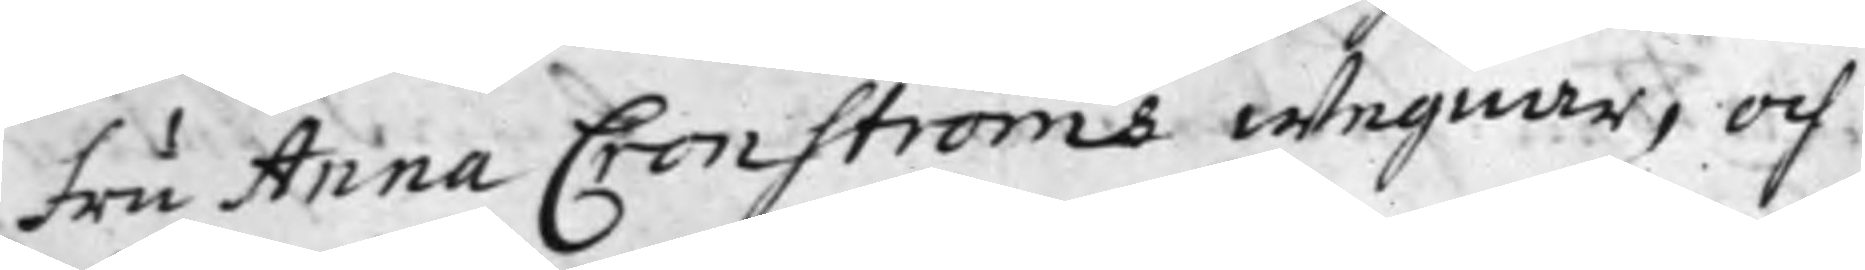Fru Anna Cronströms wegnar, och
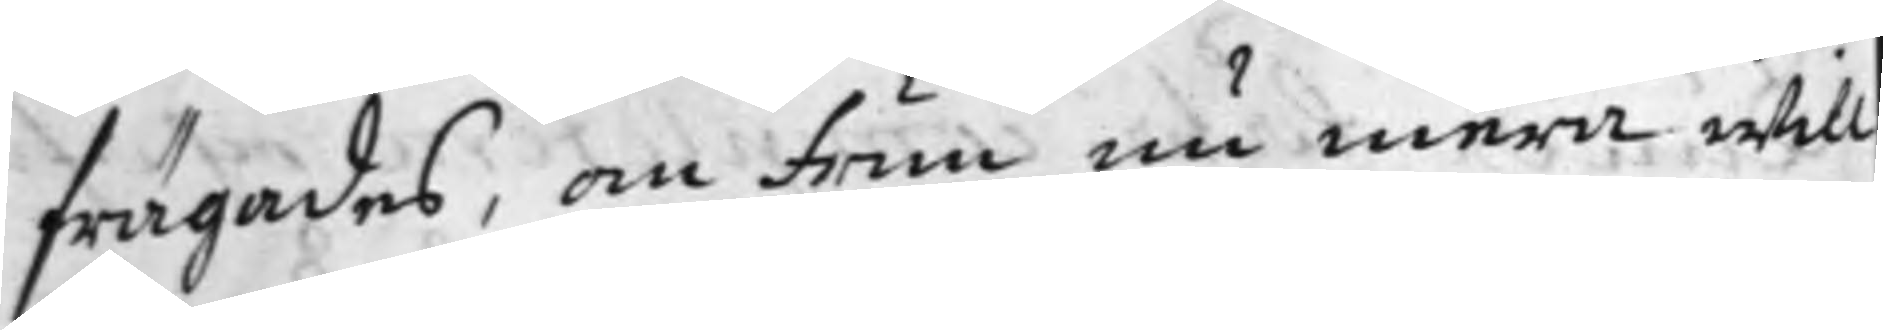frägades, om Frun nu mera will
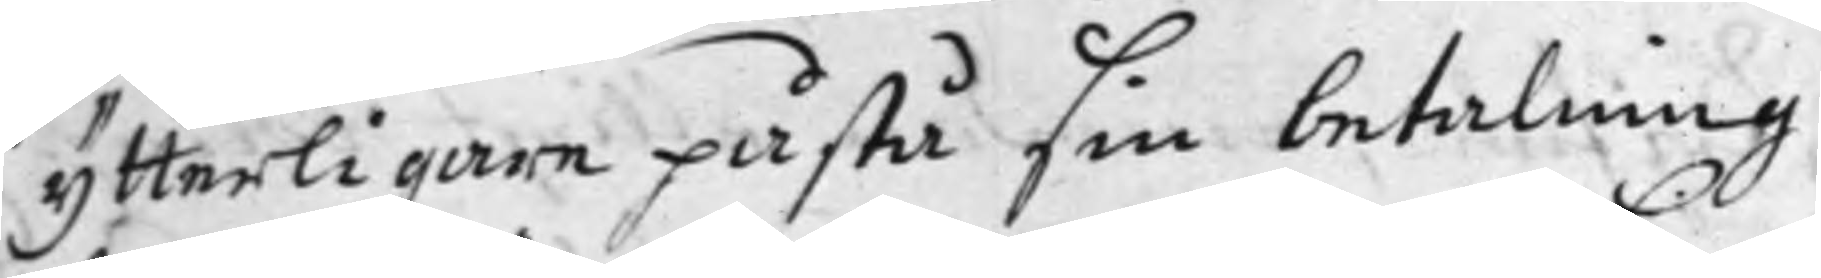ytterligare påstå sin betalning
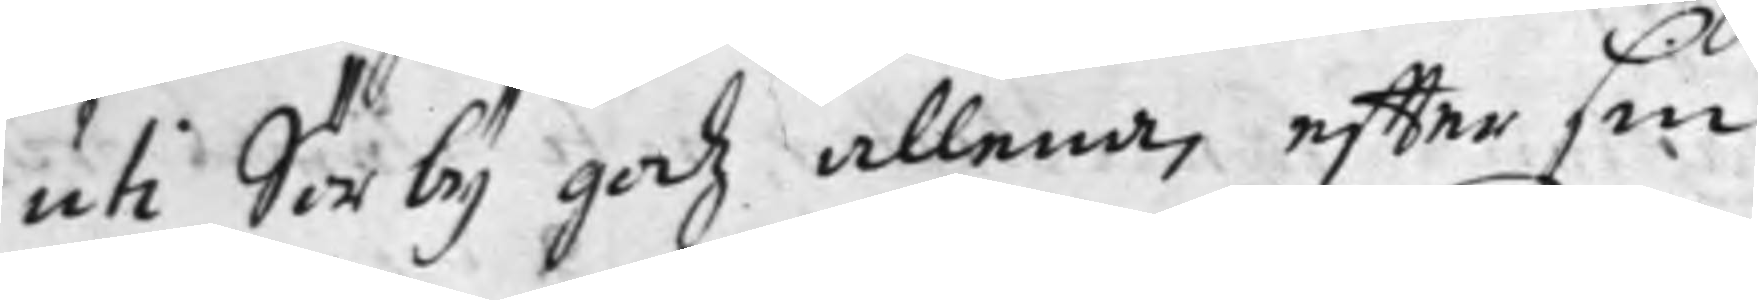uti Sörby godz allena, effter sin
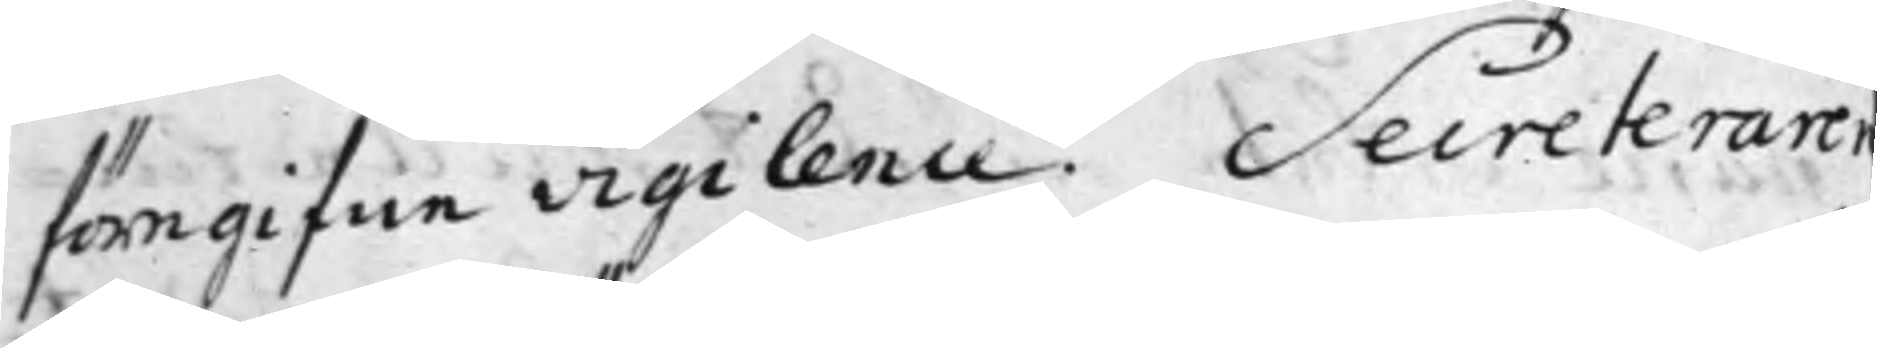föregifne vigilence. Secreteraren
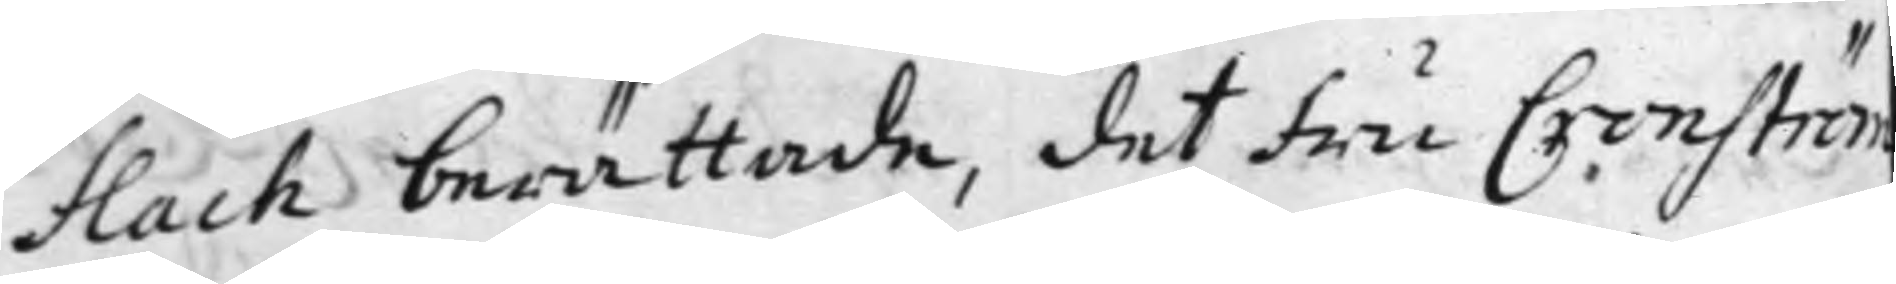Flach berättade, det Fru Cronström
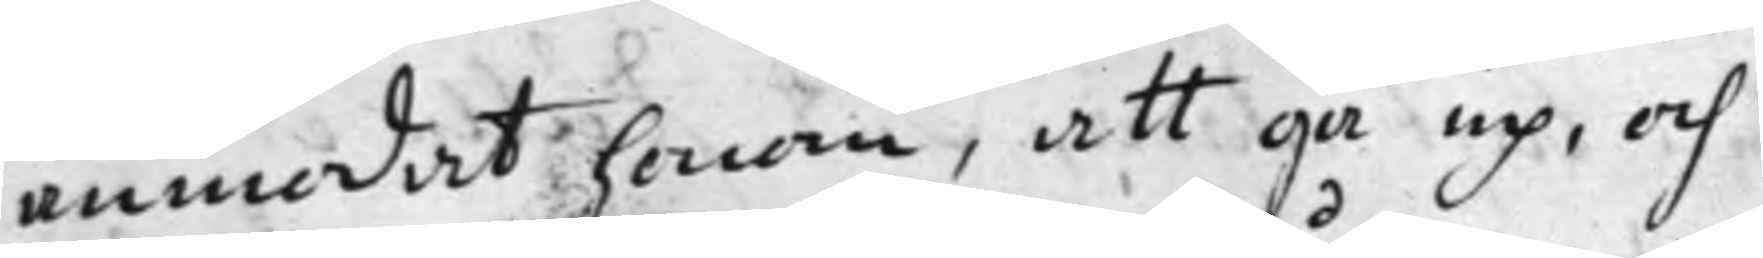anmodat honom, att gå up, och
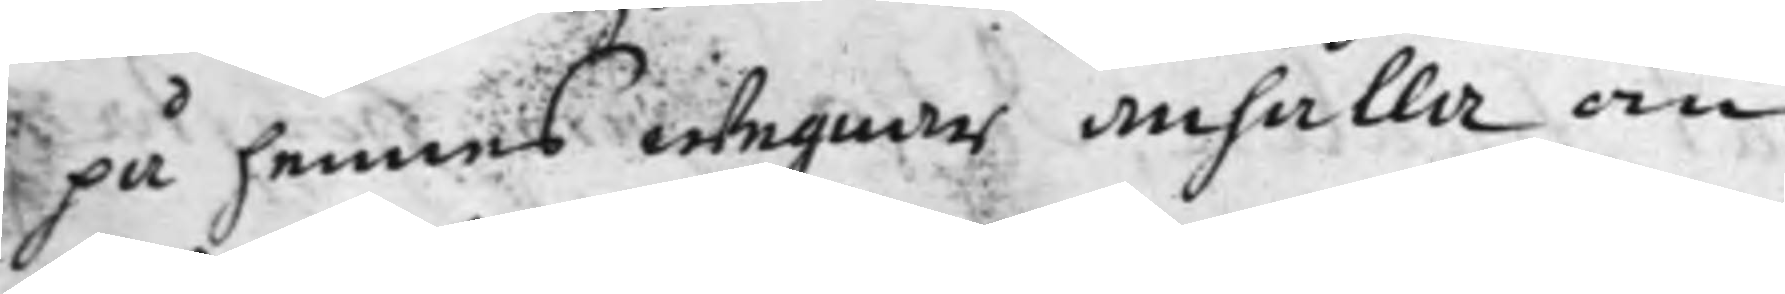på hennes wegnar anhålla om
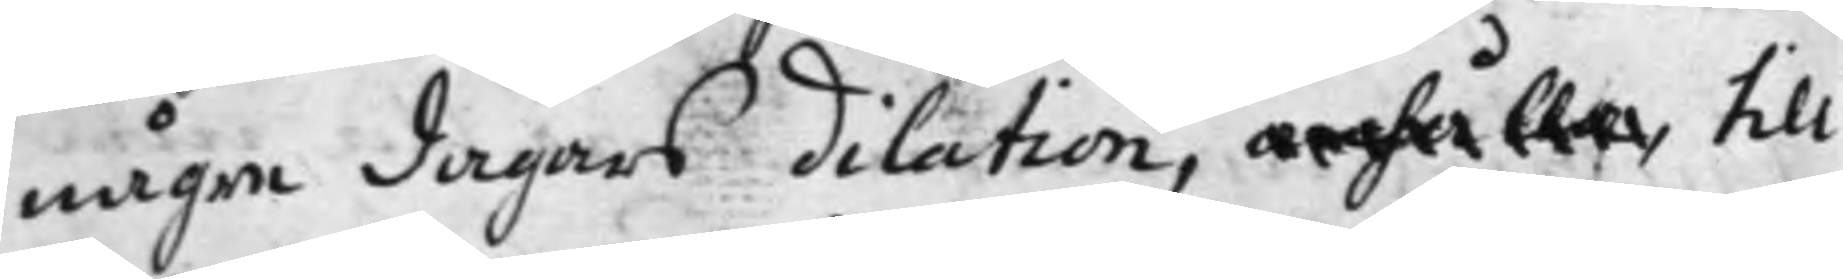någre dagars dilation, anhåller till
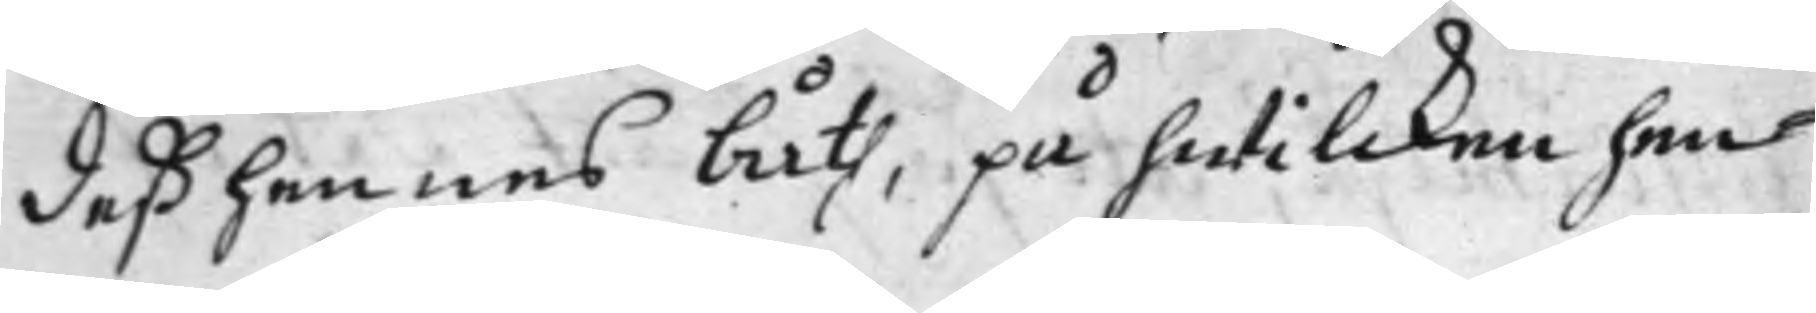deß hennes båth, på hwilcken hen¬
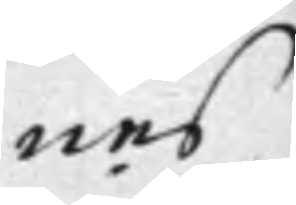nes
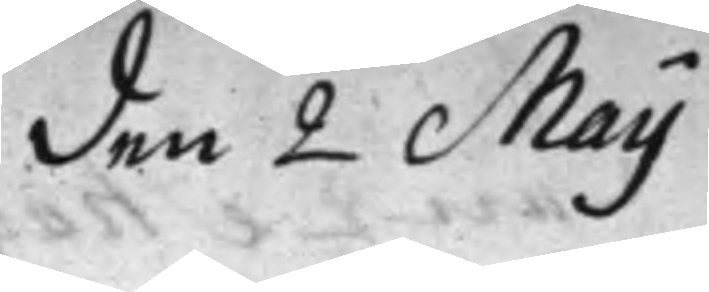den 2 Maij
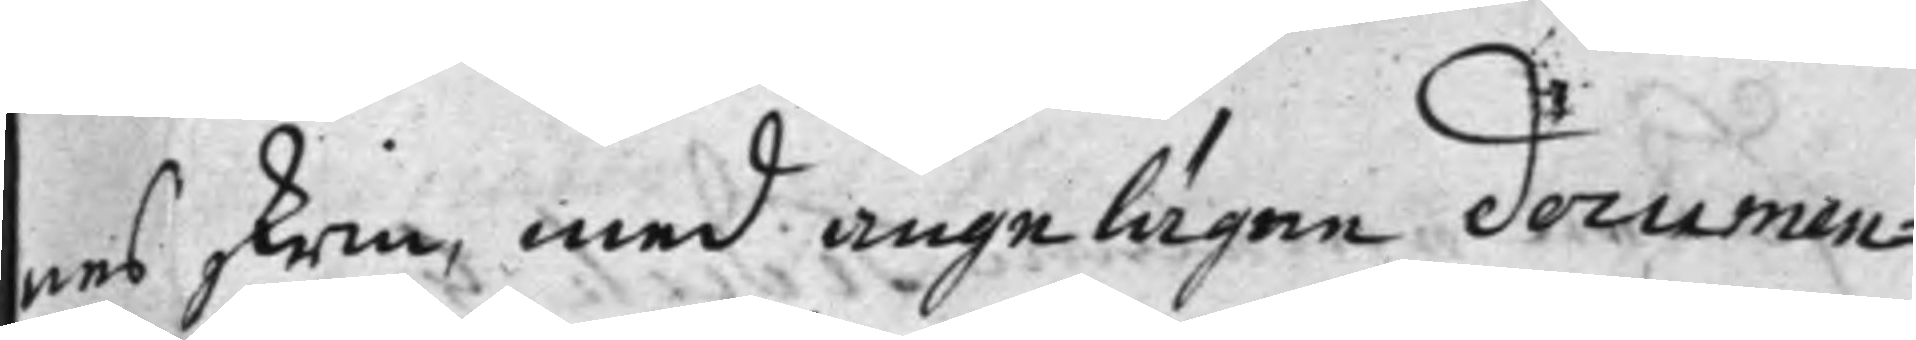nes skrin, med angelägne documen¬
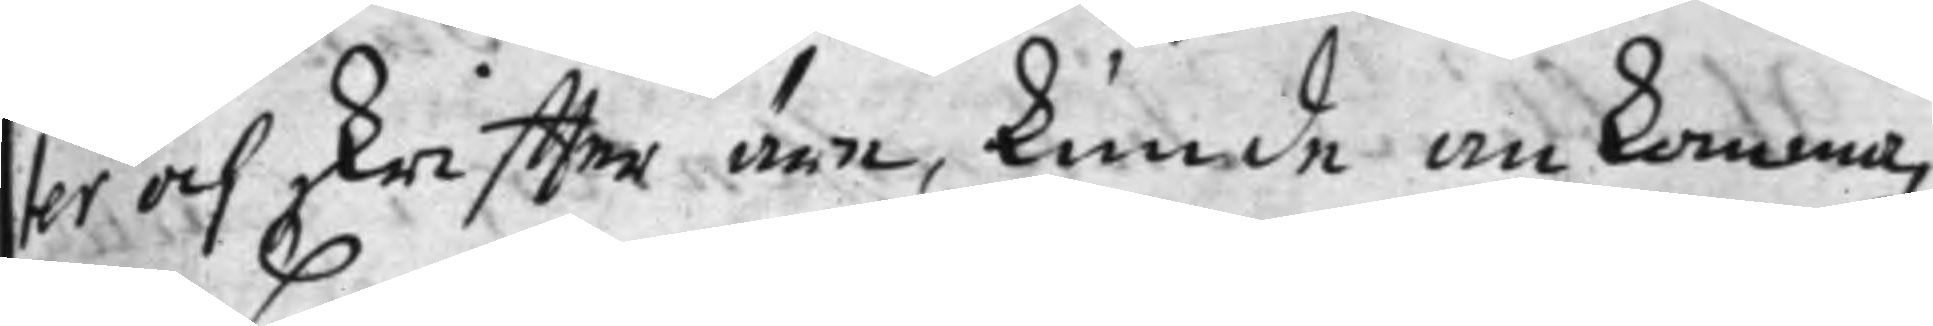ter och skriffter äre, kunde ankomma,
